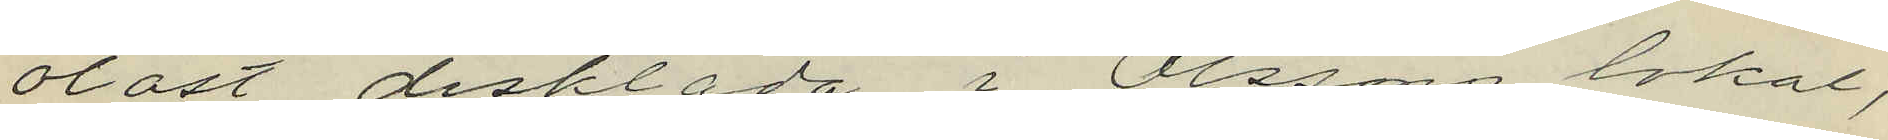olåst disklåda i Olssons lokal,
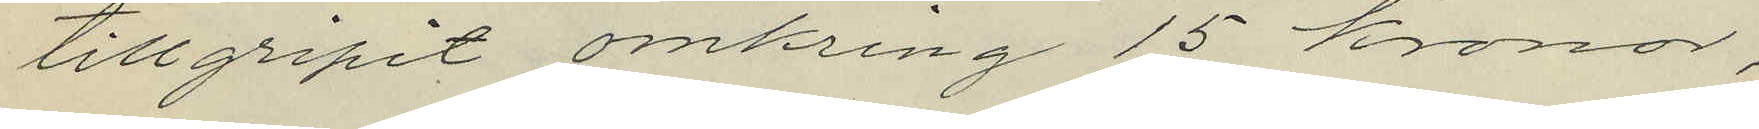tillgripit omkring 15 kronor,
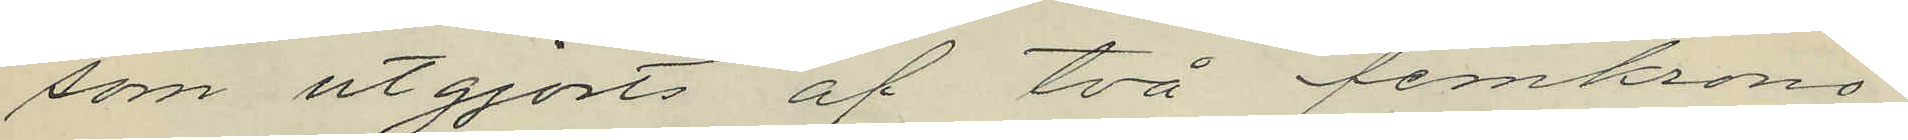som utgjorts af två femkrono¬
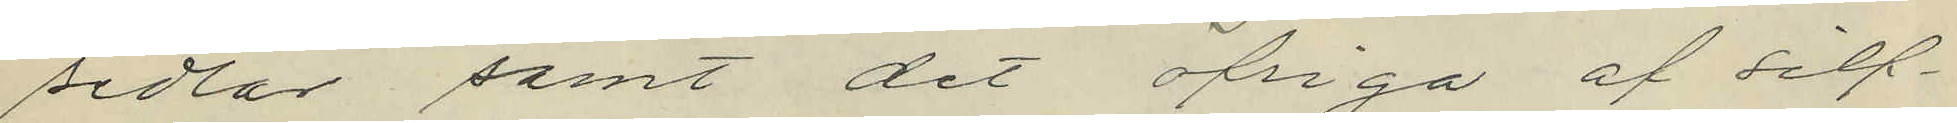sedlar samt det öfriga af silf¬
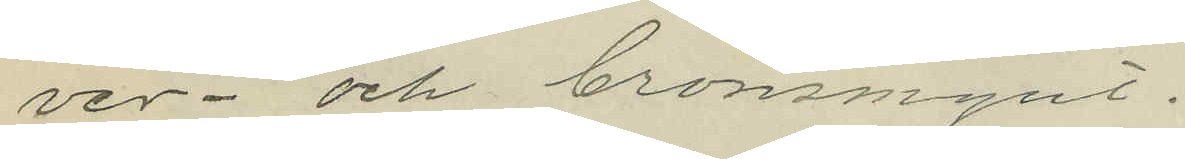ver- och bronsmynt.
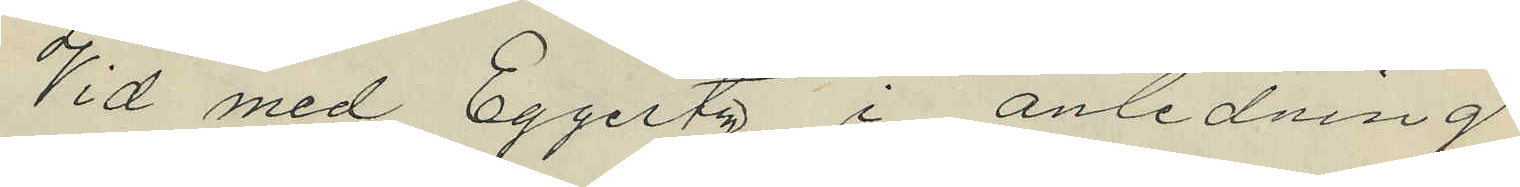Vid med Eggertz i anledning
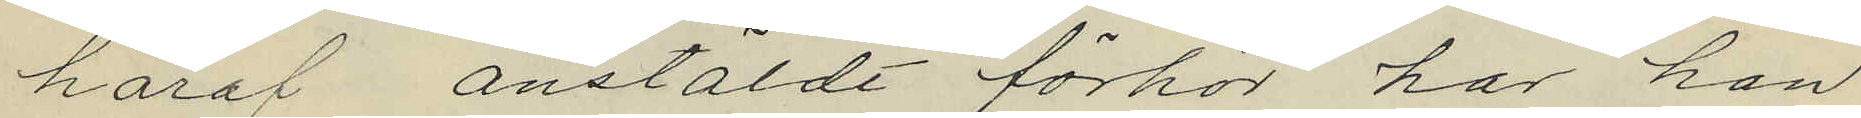häraf anstäldt förhör har han
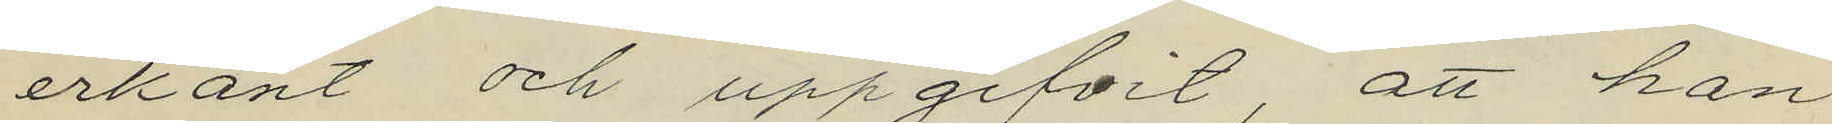erkänt och uppgifvit, att han
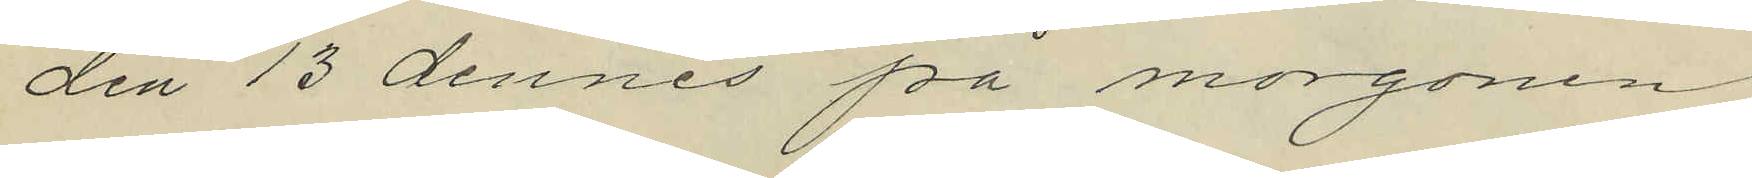den 13 dennes på morgonen
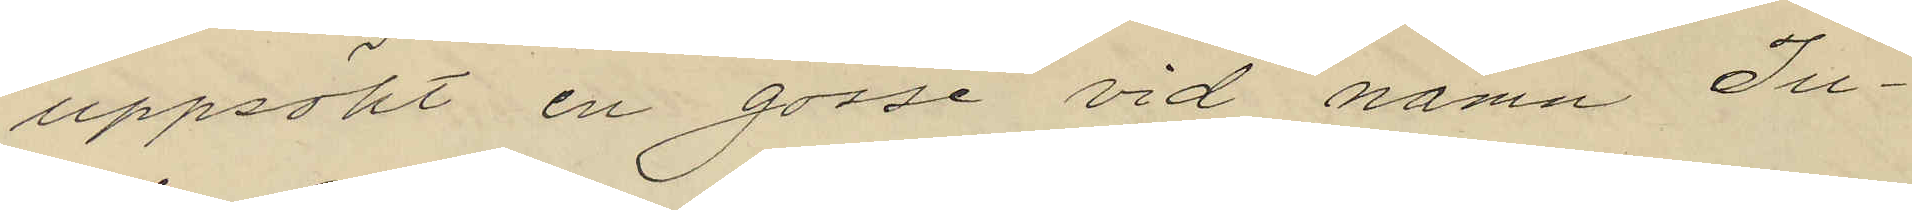uppsökt en gosse vid namn Ju¬
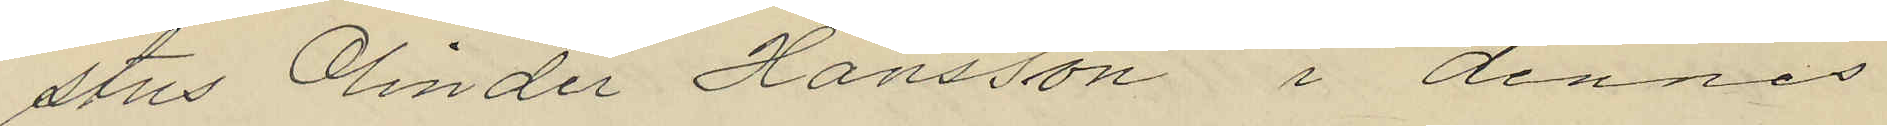stus Olinder Hansson i dennes
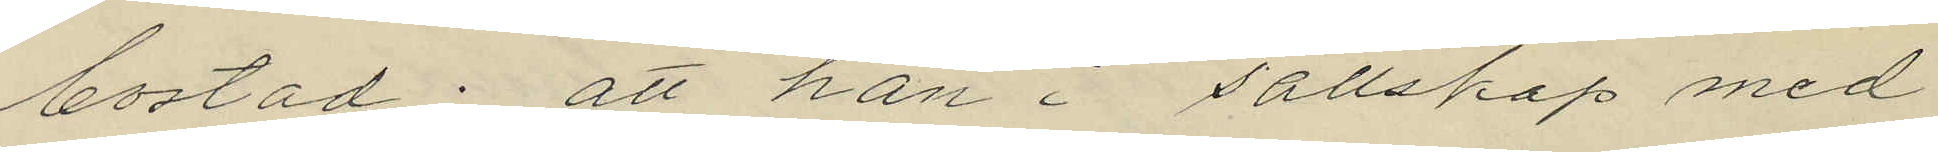bostad; att han i sällskap med
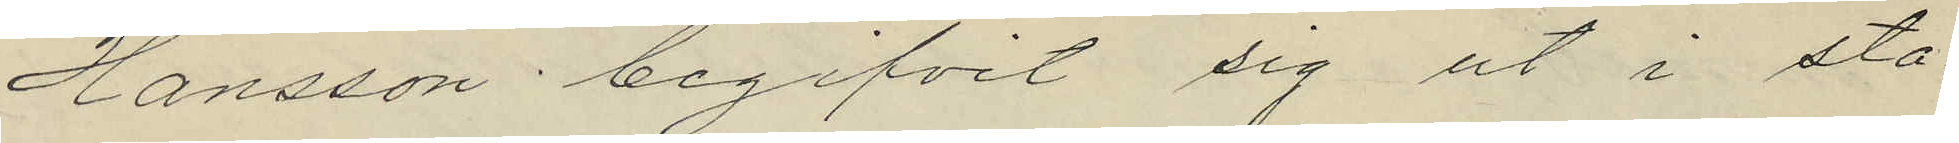Hansson begifvit sig ut i sta¬
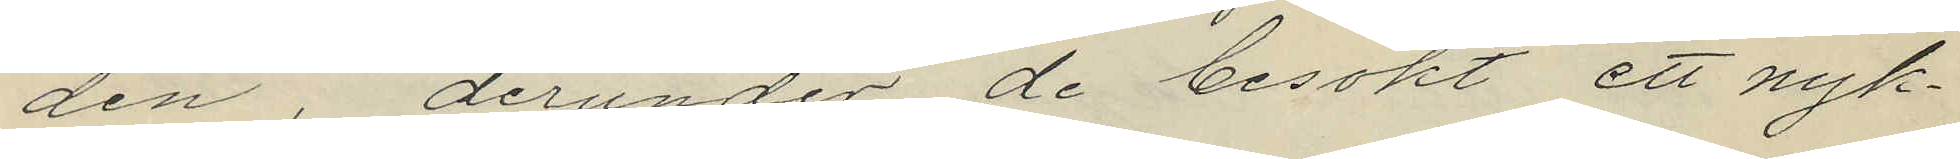den, derunder de besökt ett nyk¬
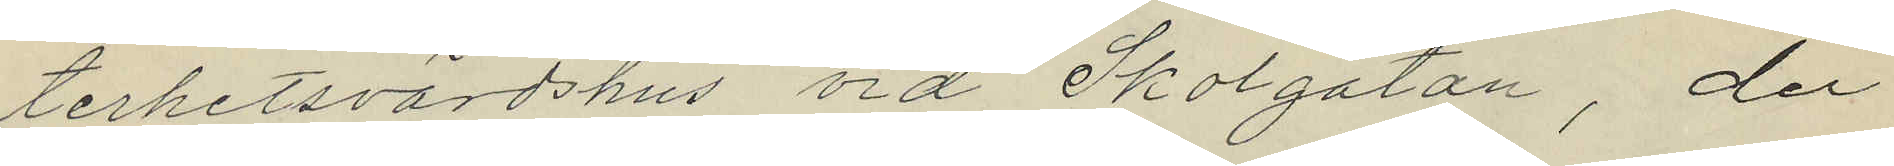terhetsvärdshus vid Skolgatan, der
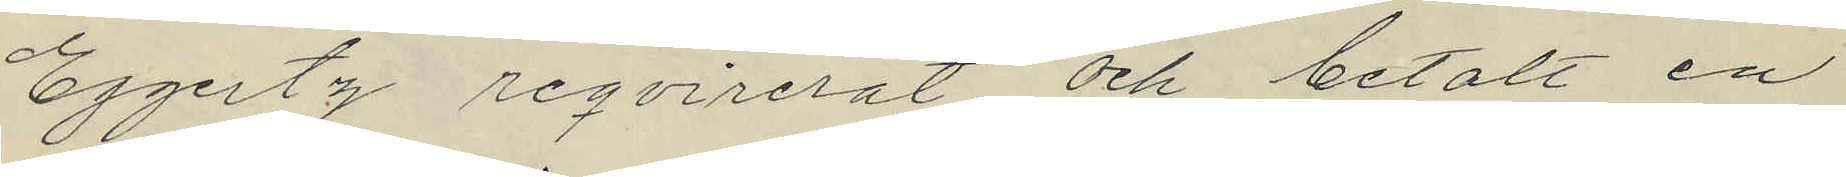Eggertz reqvirerat och betalt en
